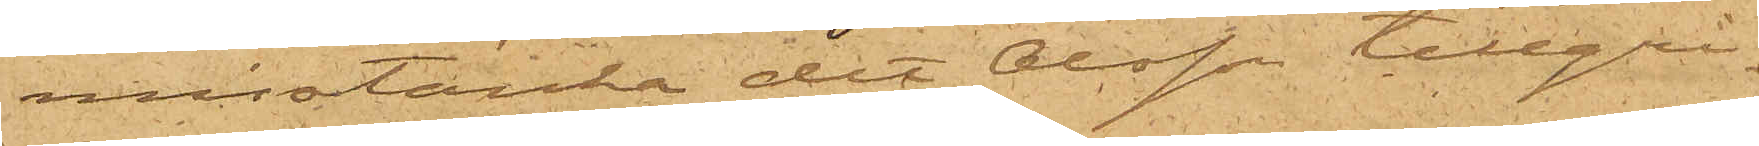misstänka det Olsson tillgri¬
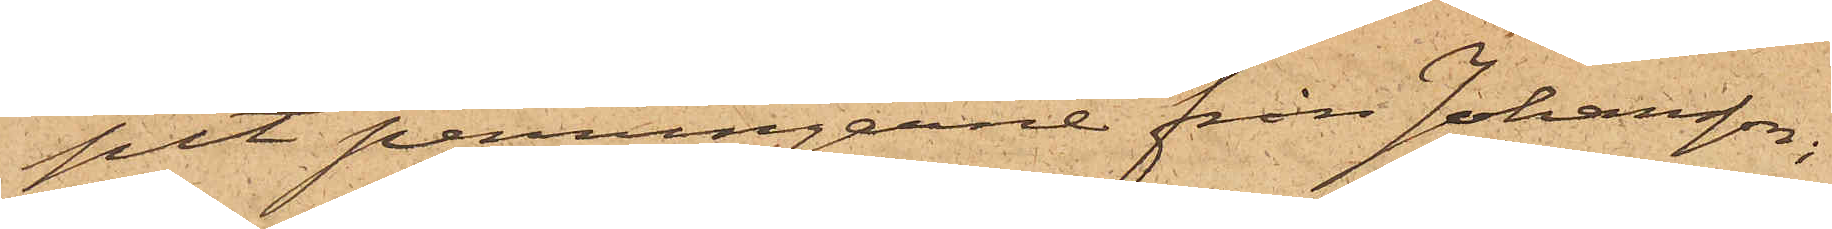pit penningarne från Johansson,
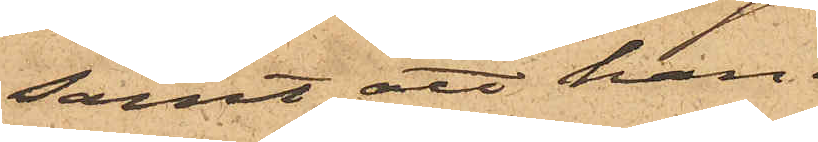samt att han
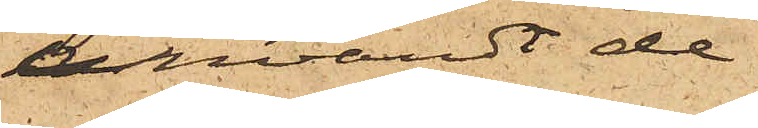användt de
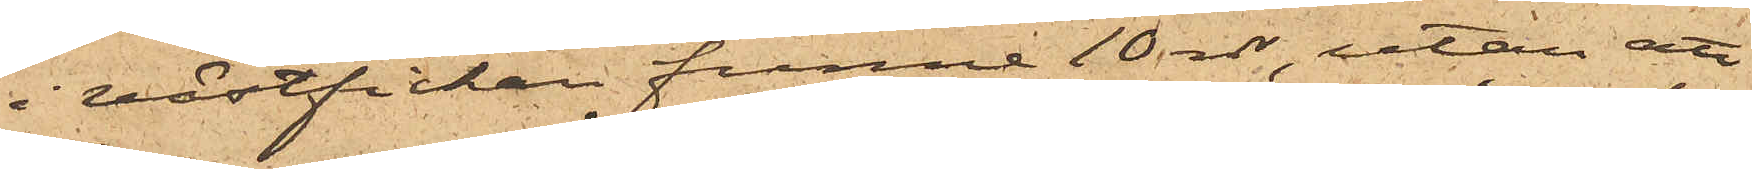i västfickan funna 10 rdr, utan att
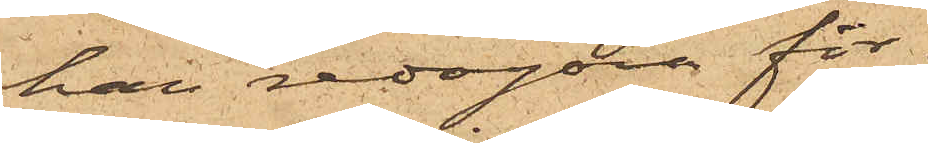han redogöra för
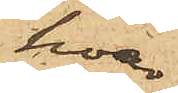hvar
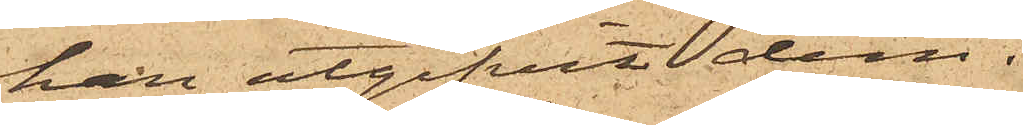han utgifvit dem.
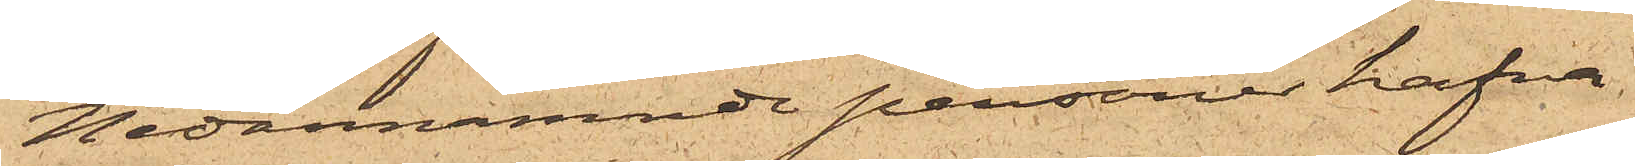Nedannämnde personer hafva
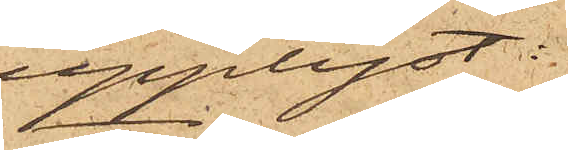upplyst:
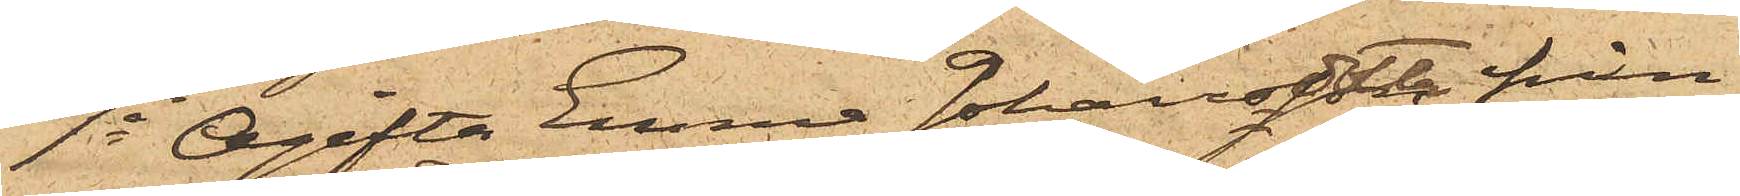1o Ogifta Emma Johansdotter från
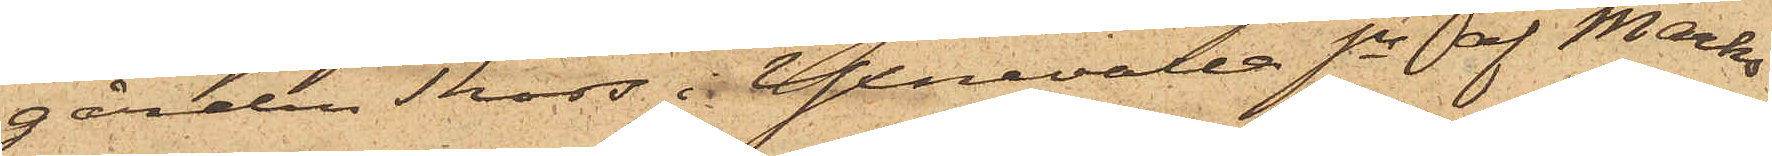gården Thors i Yxnevalla Sn af Marks
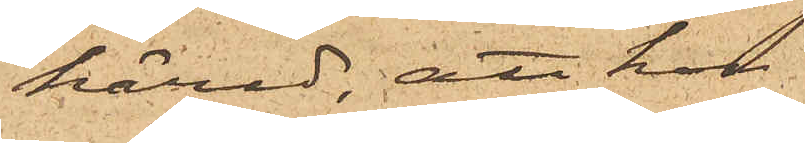härad, att hon
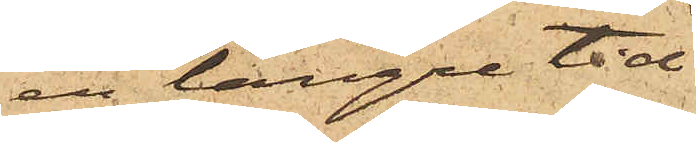en längre tid
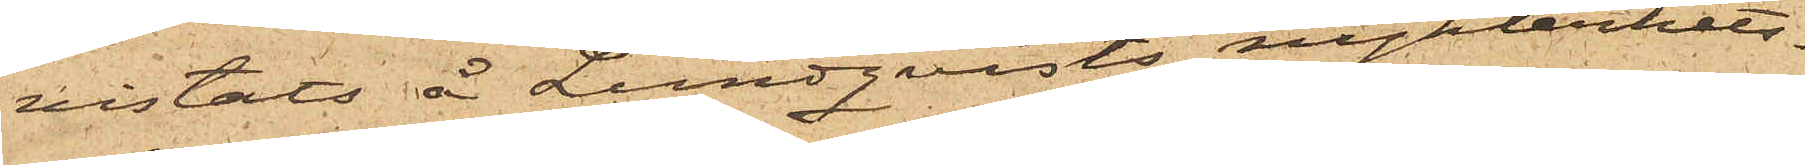vistats å Lundqvists nykterhets¬
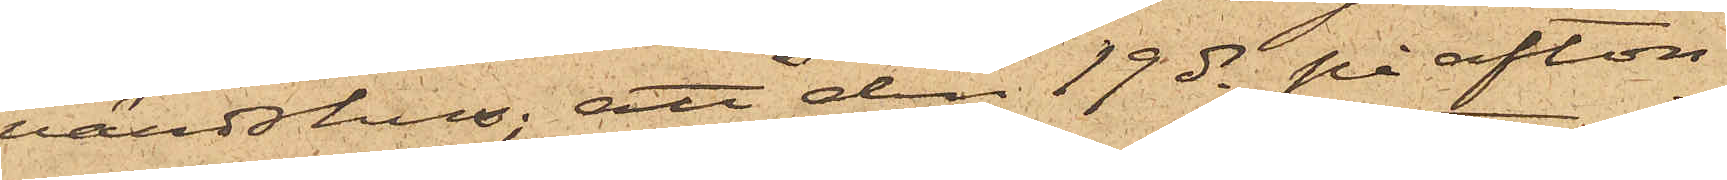värdshus; att den 19 ds på afton
